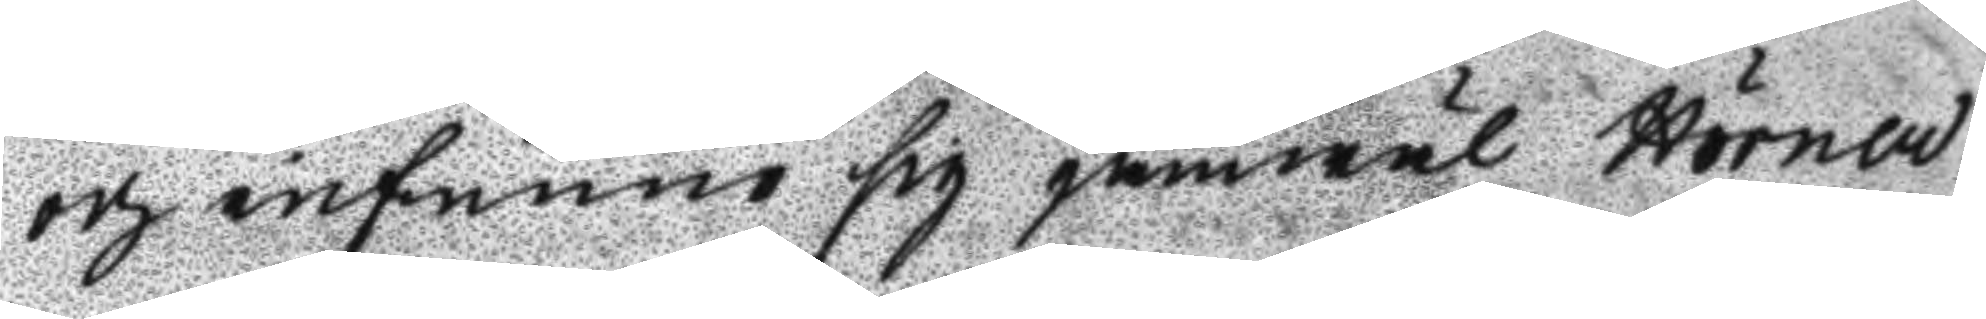och infunno sig jämwäl Hörner
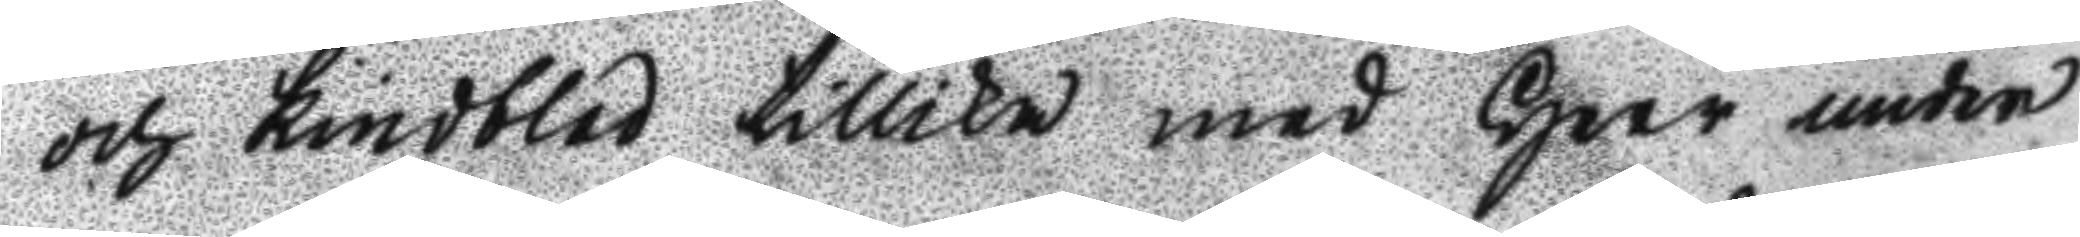och lindblad tillika med Herr under¬
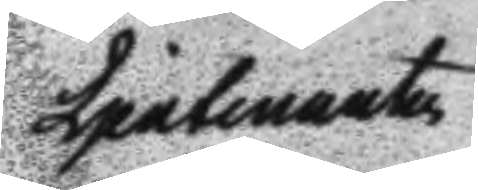Ljeutenanten
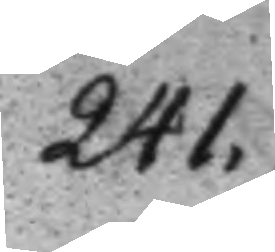241.
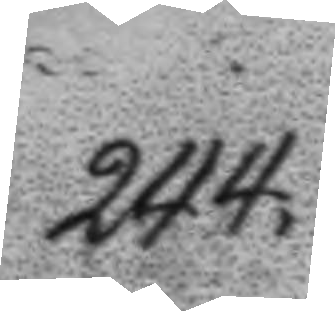244.
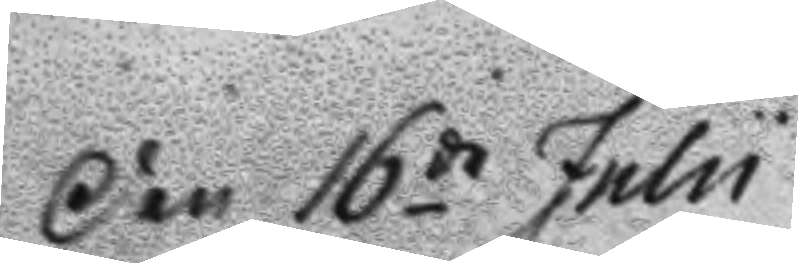Den 16de Julii
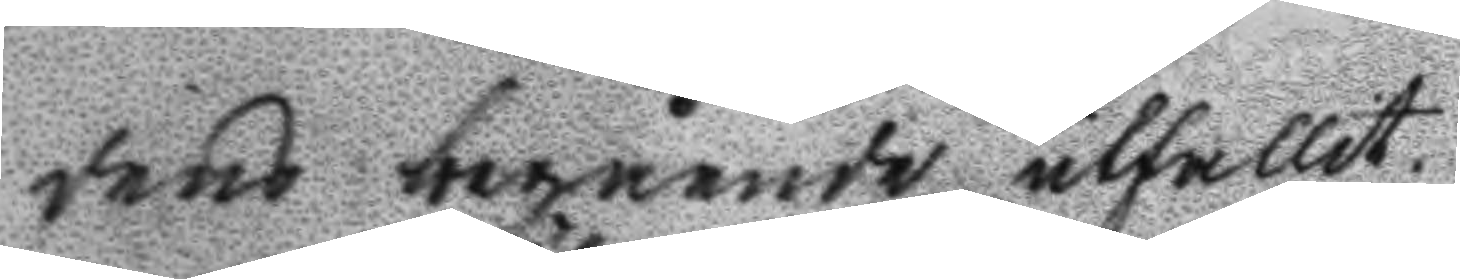dens begående utfallit.
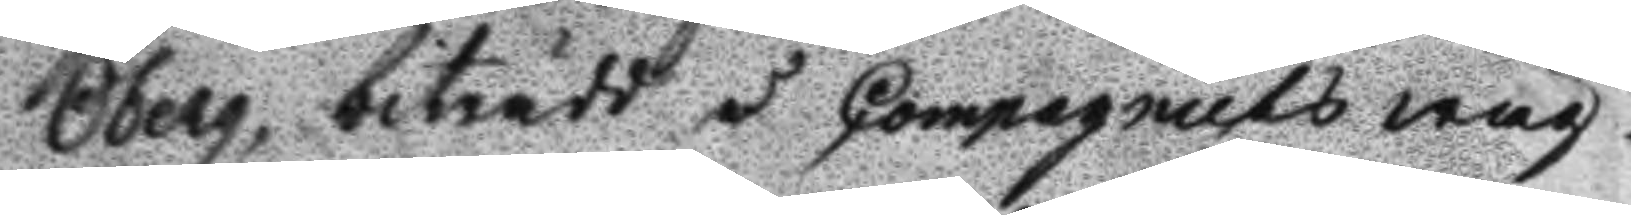Öberg, biträdd å Compagniets wäg¬
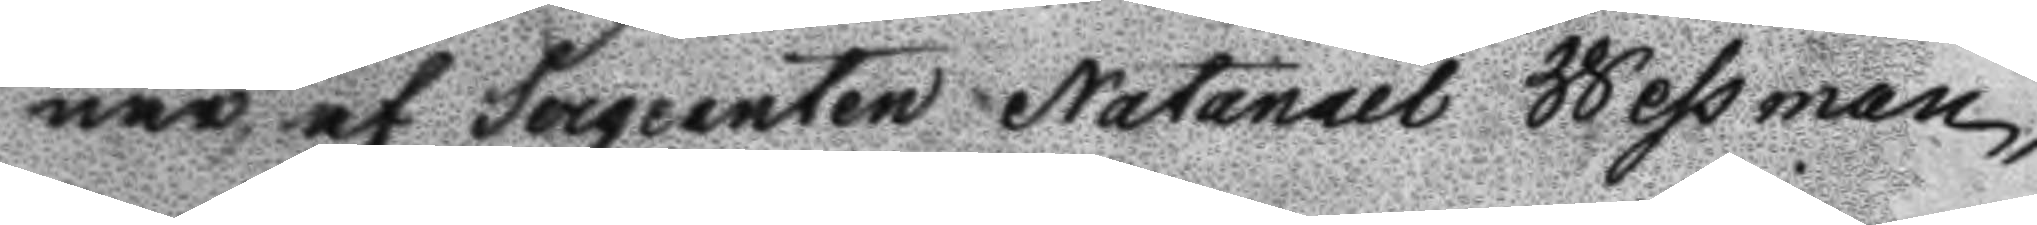nar af Sergeanten Natanael Wessman,
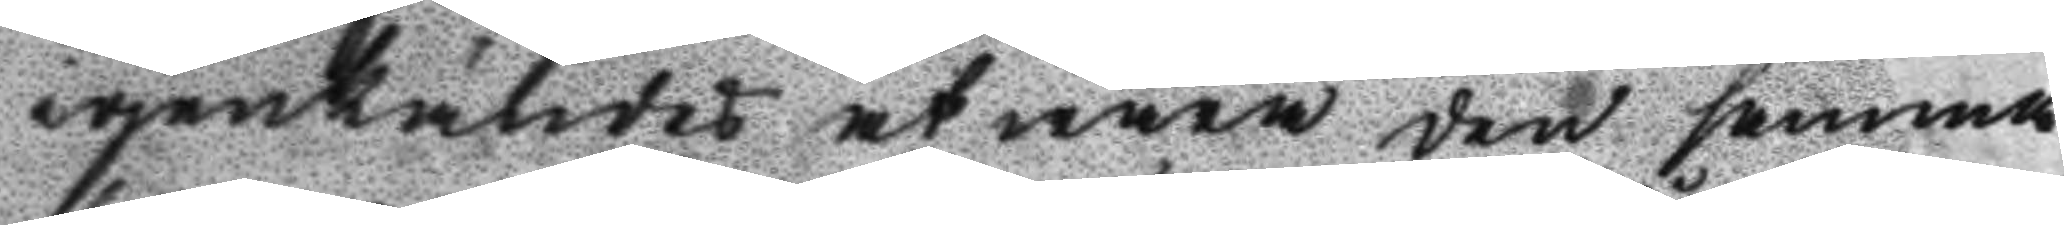igenkändes at wara den samma
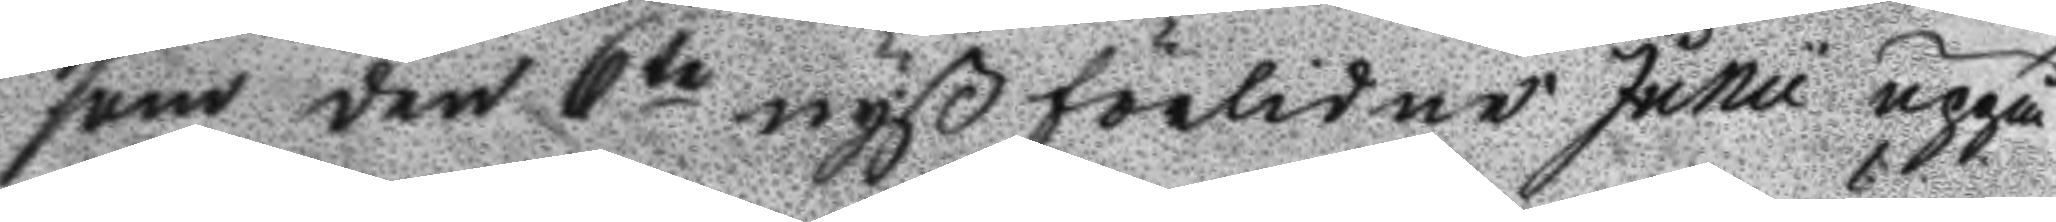som den 6te nyß förlidne Junii uppå
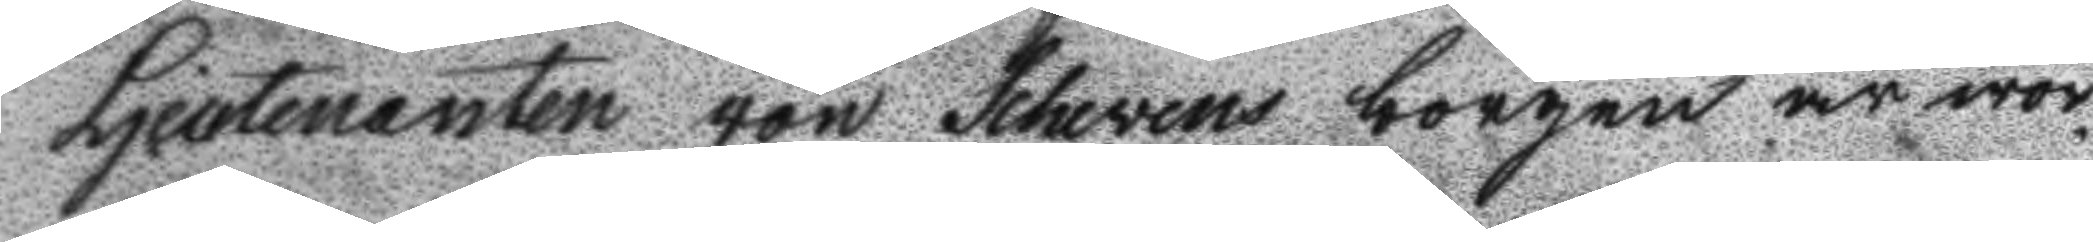Ljeutenanten von Scheven borgen är wor¬
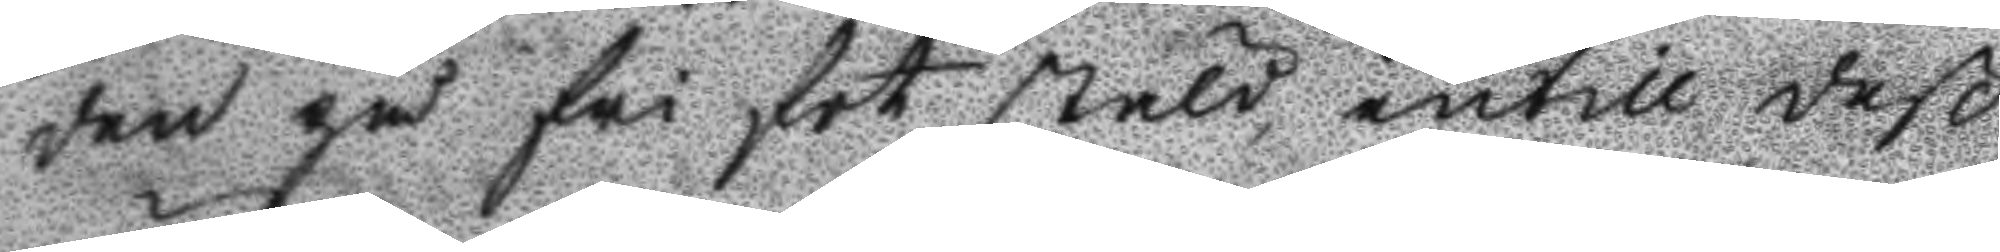den på fri fot stäld intill deß
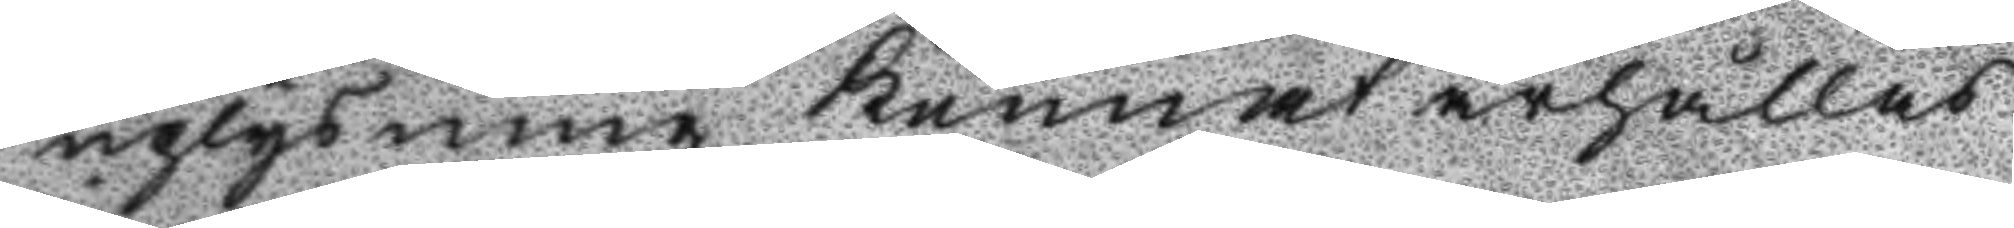uplysning kunnat ärhållas
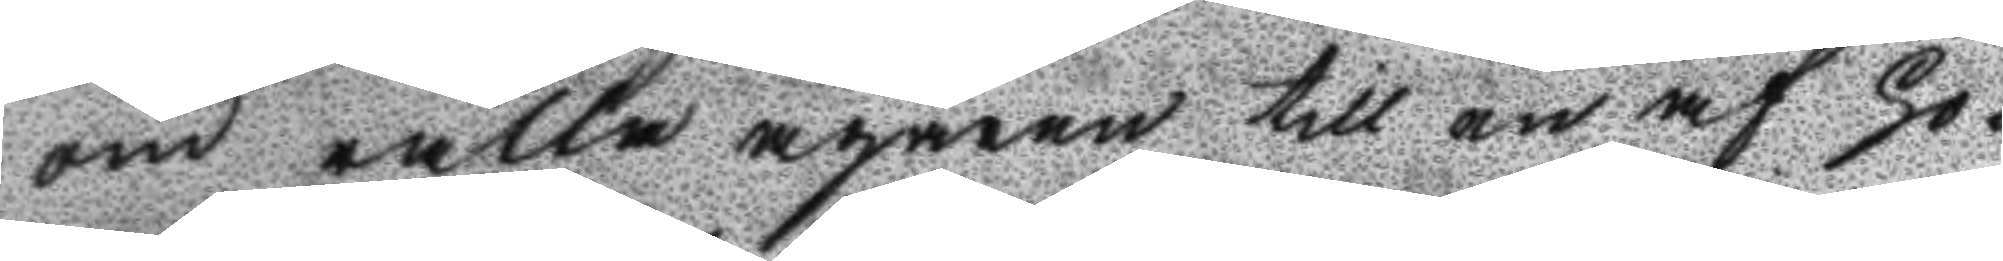om rätta ägaren till en af ho¬
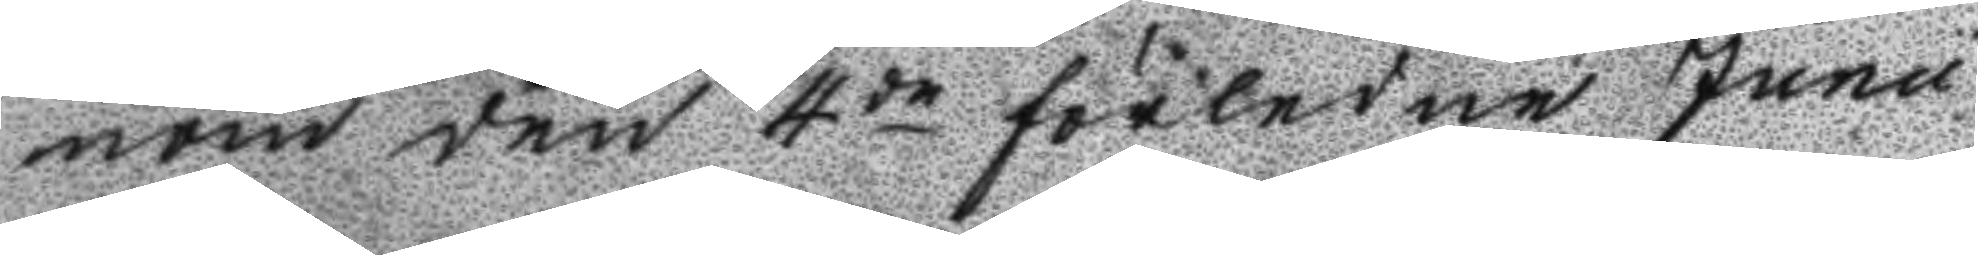nom den 4de förlidne Junii
